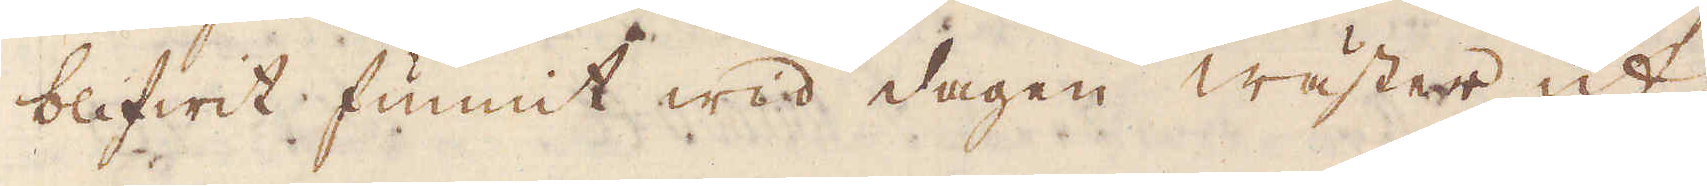blifwit funnit wid dagen wäster ut,
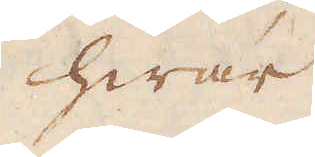hwar
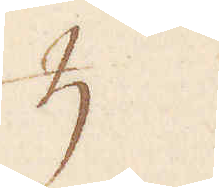♄
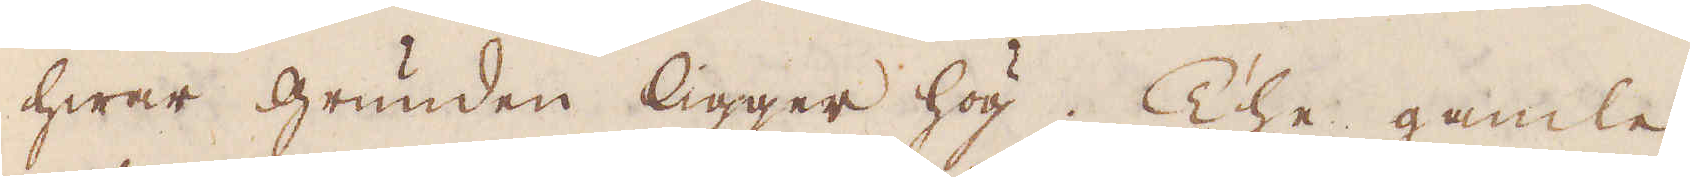hwar grunden ligger hög. The gamle
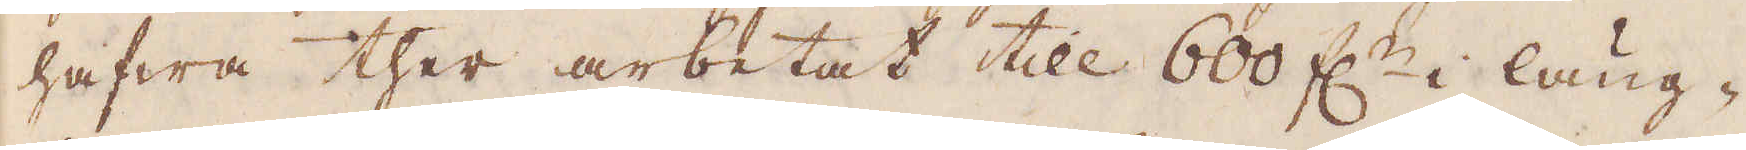hafwa ther arbetat till 600 f:r i läng-
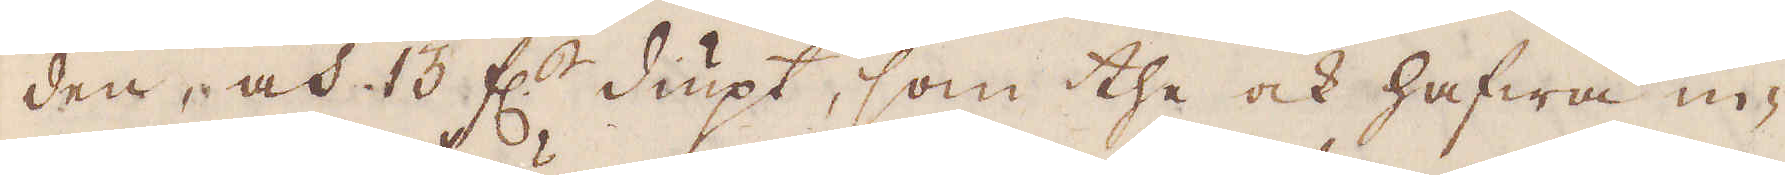den, och 13 f:r diupt, som the ock hafwa in-
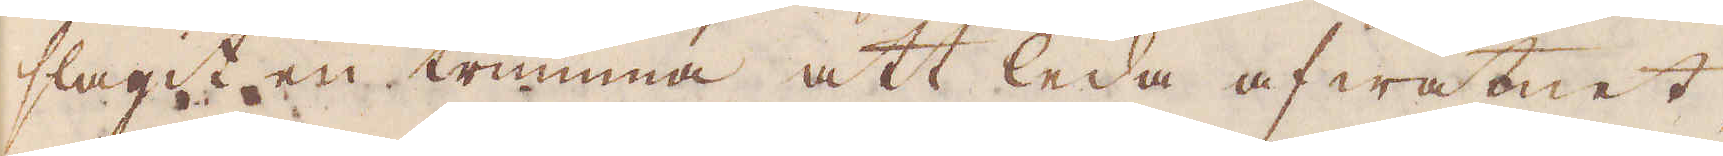slagit en trumma att leda af watnet,
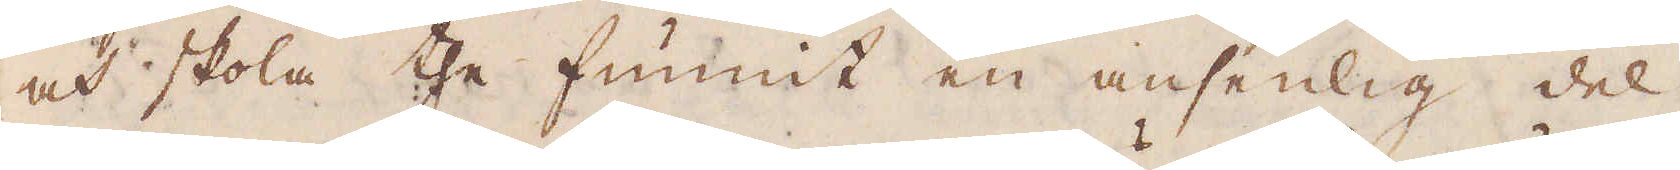och skola the funnit en ansenlig del
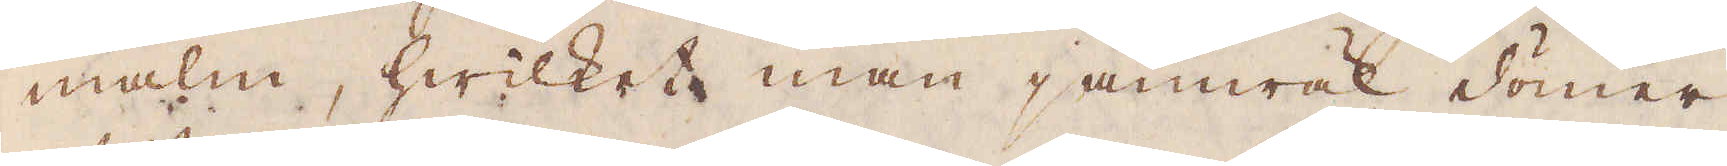malm, hwilket man jämwäl dömer
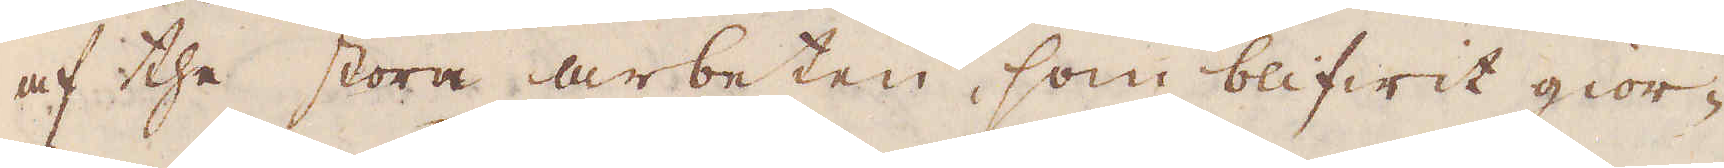af the stora arbeten, som blifwit gior-
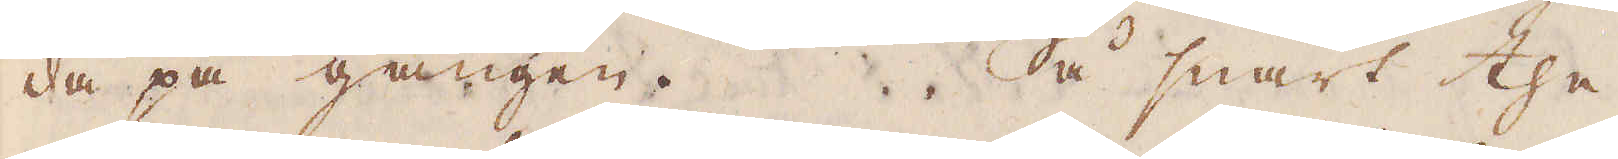da på gången. Så snart the
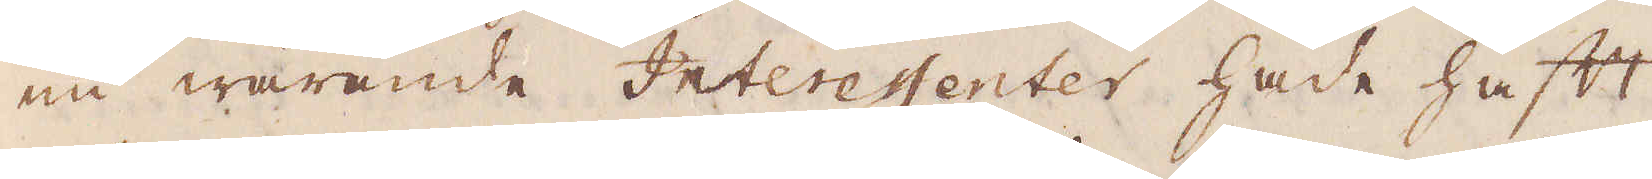nu warande Interestenter hade haft
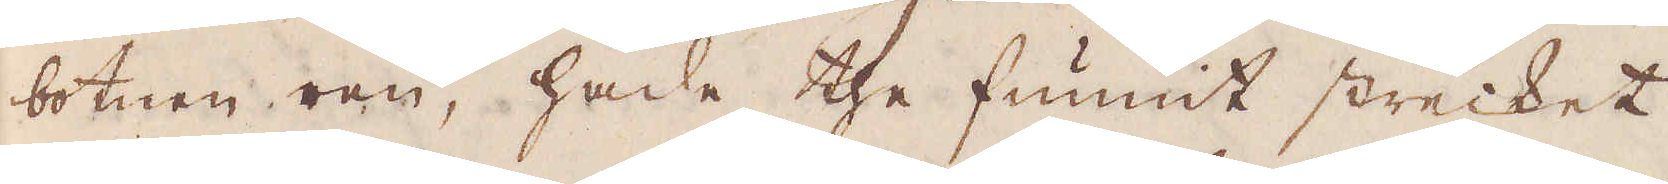botnen ren, hade the funnit strecket,
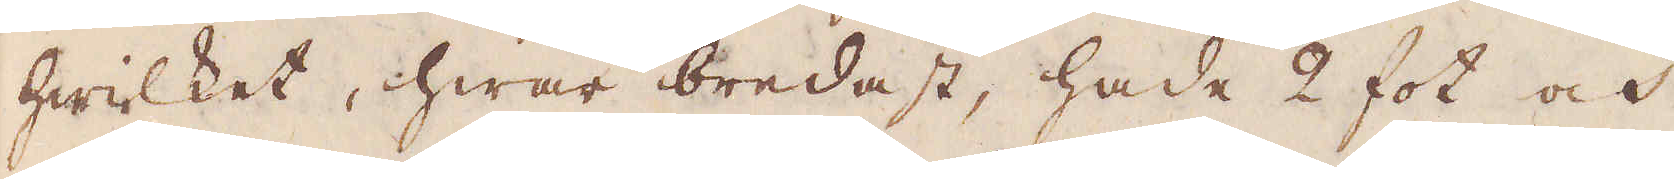hwilket, hwar bredast, hade 2 fot och
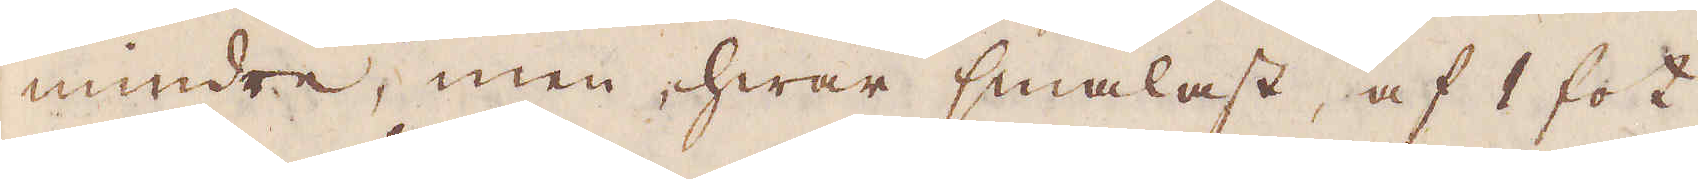mindre, men, hwar smalast, af 1 fot,
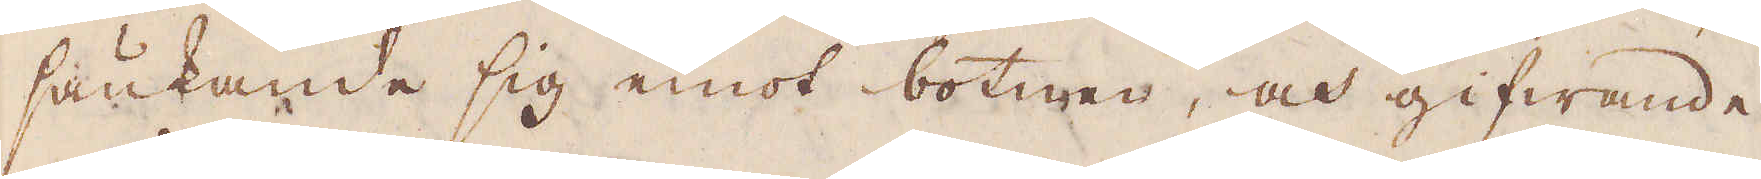sänkande sig emot botnen, och gifwande
